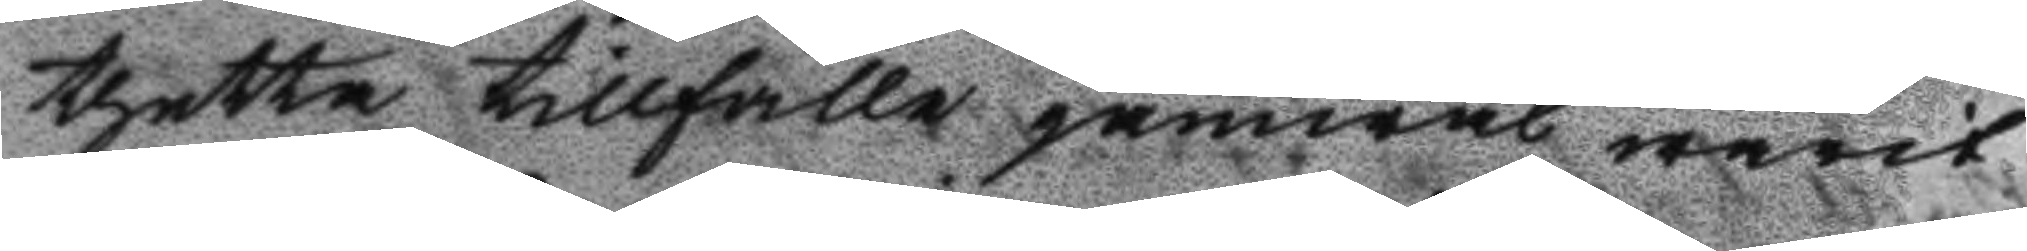thetta tillfälle jämwäl warit
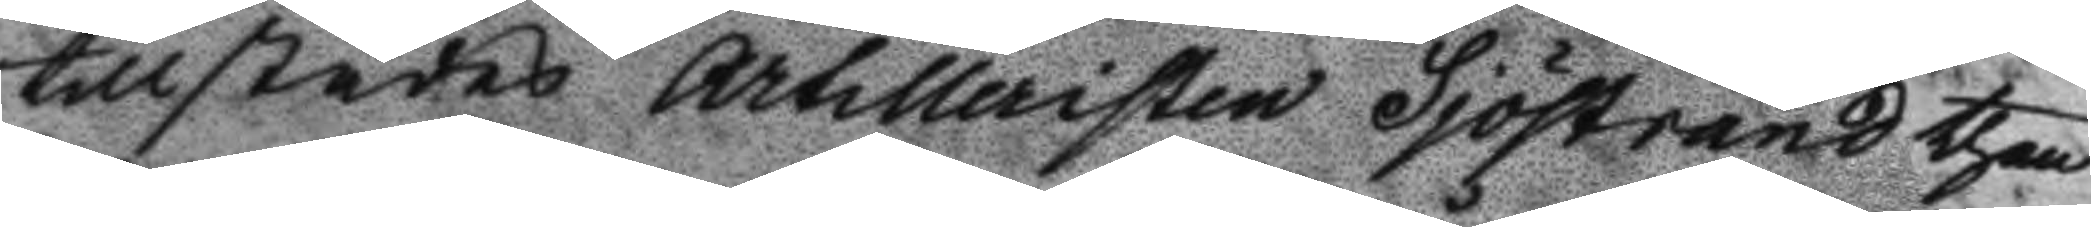tillstädes Artilleristen Sjöstrand then
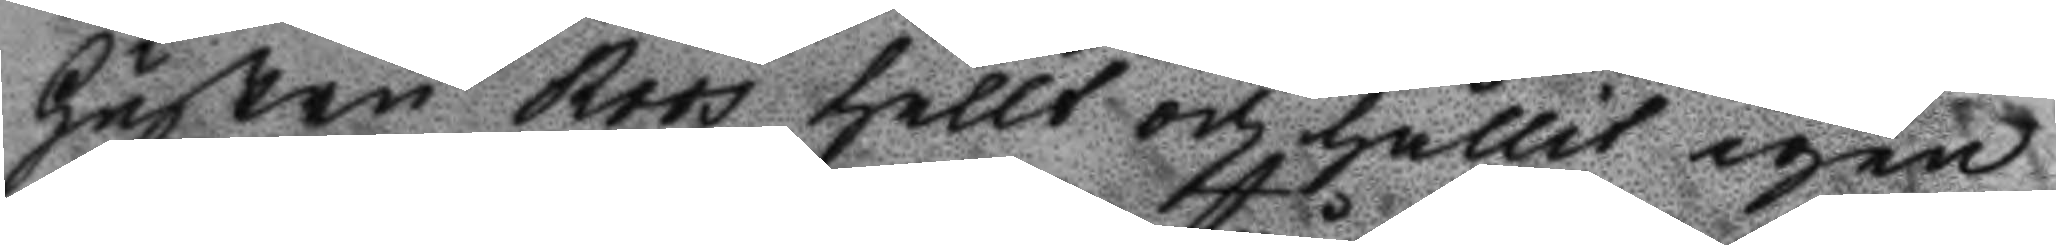Hustru Roos hellt och hållit igen
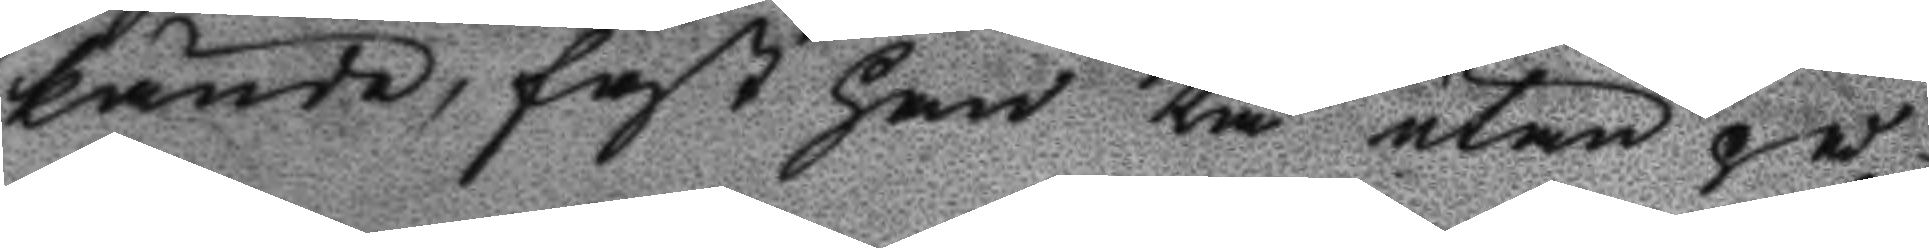kände, fast han tå utan på
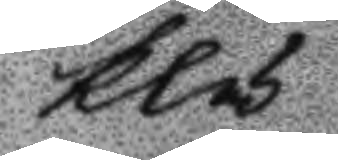klä¬
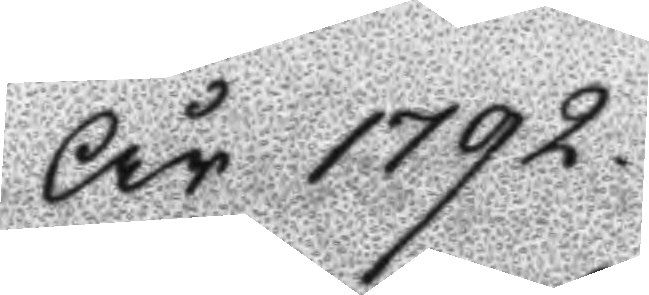År 1792.
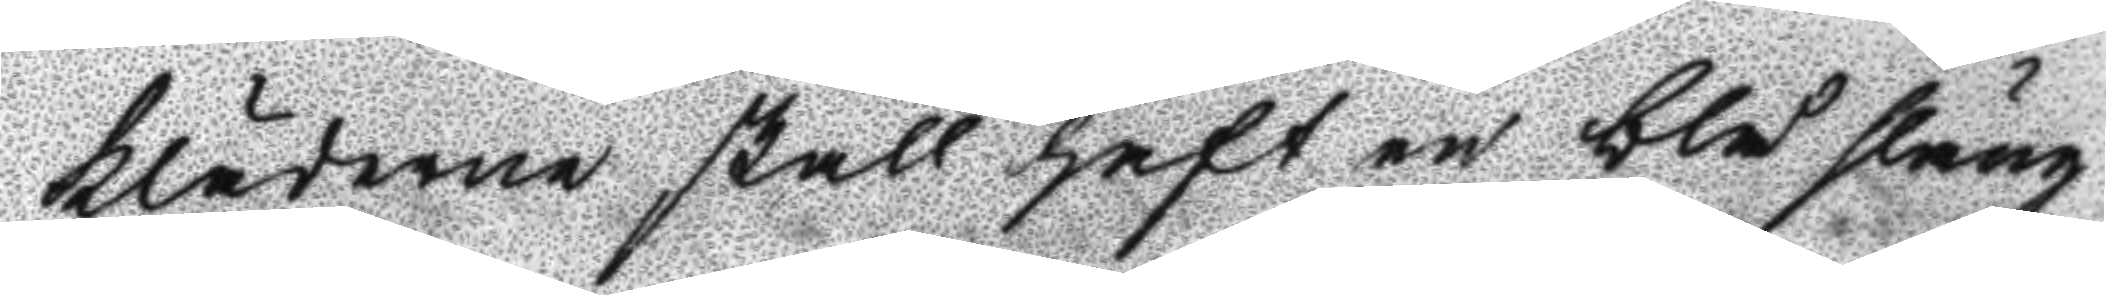kläderne skall haft en blå släng
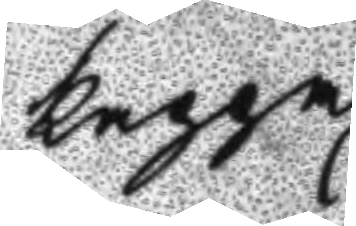kappa.
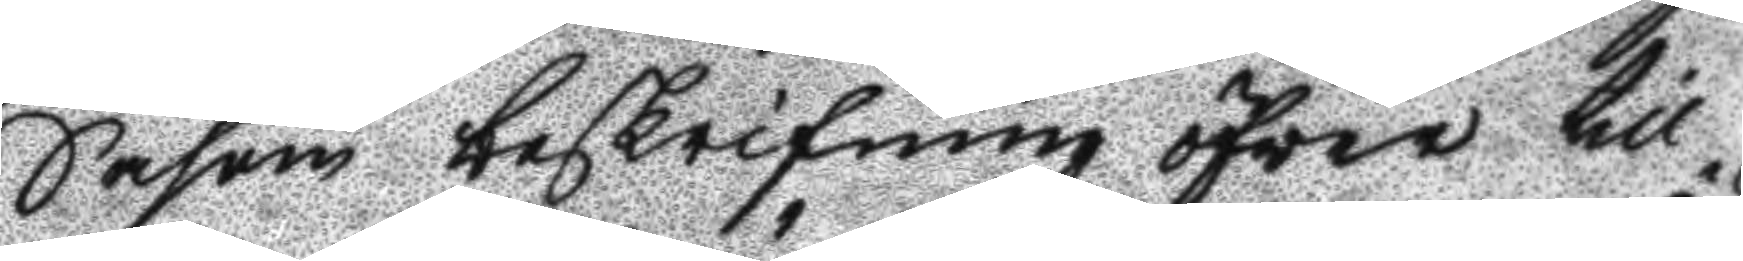Såsom beskrifning öfwer till¬
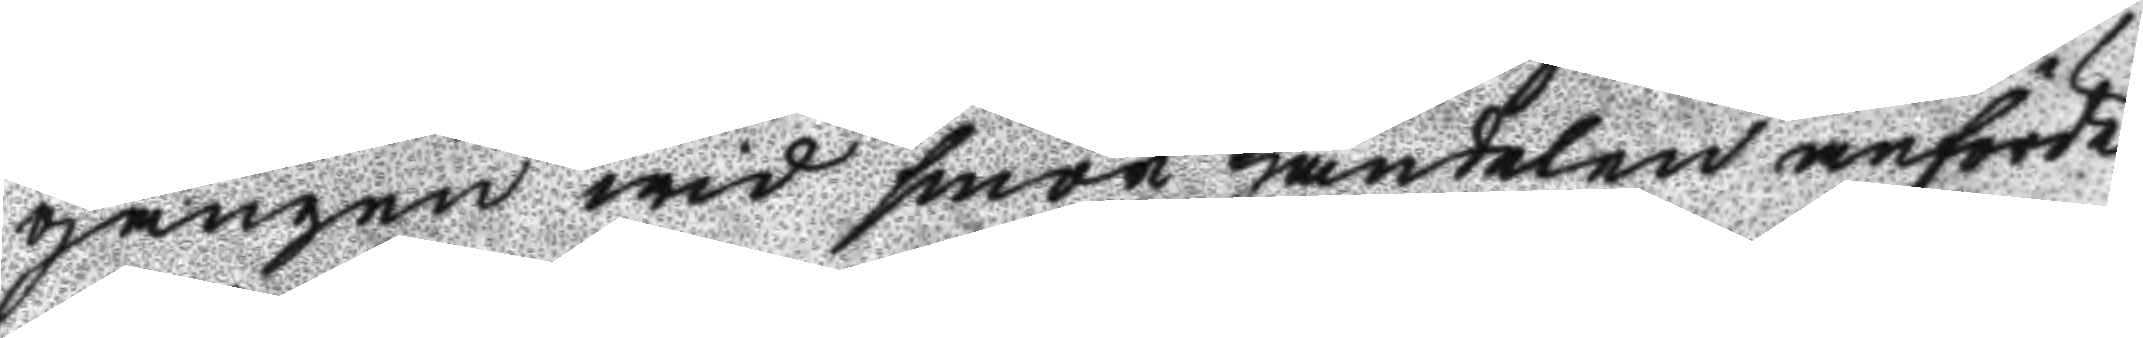gången wid smör handelen anförde
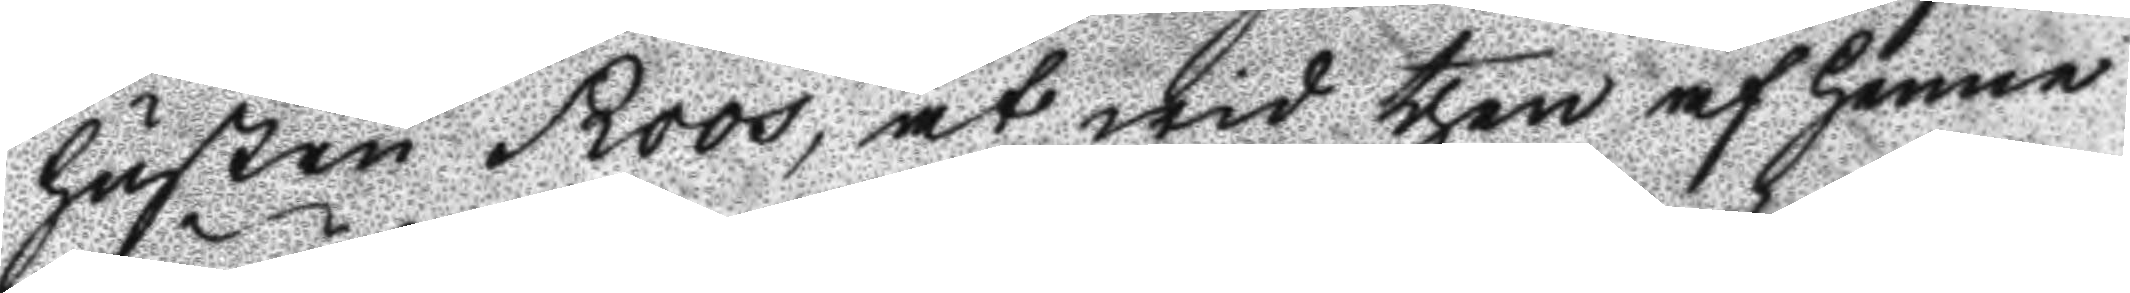hustru Roos, at wid then af henne
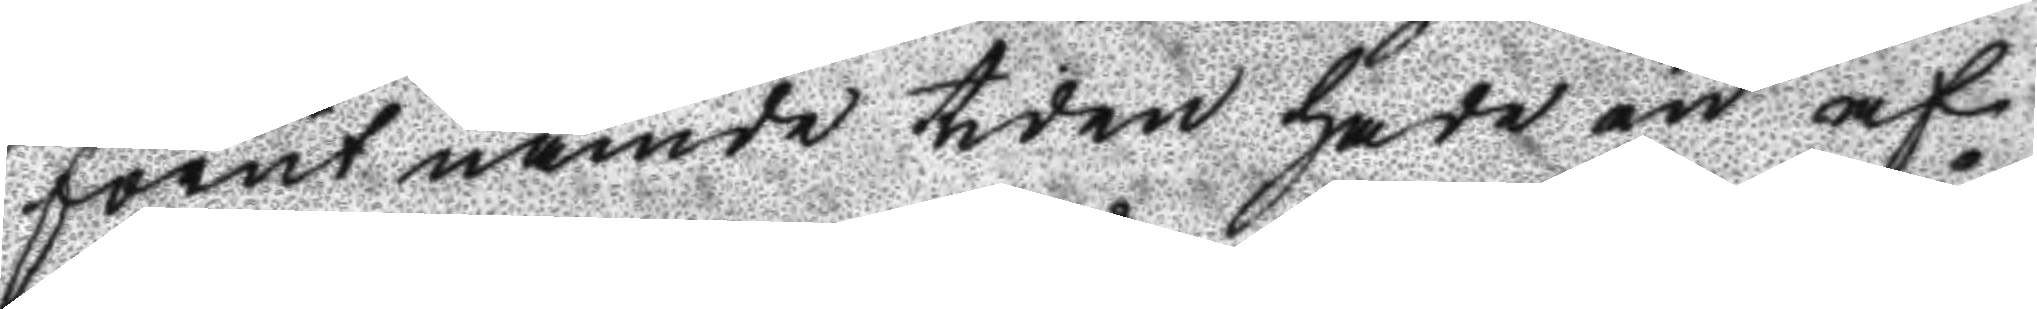förut nämde tiden hade en af
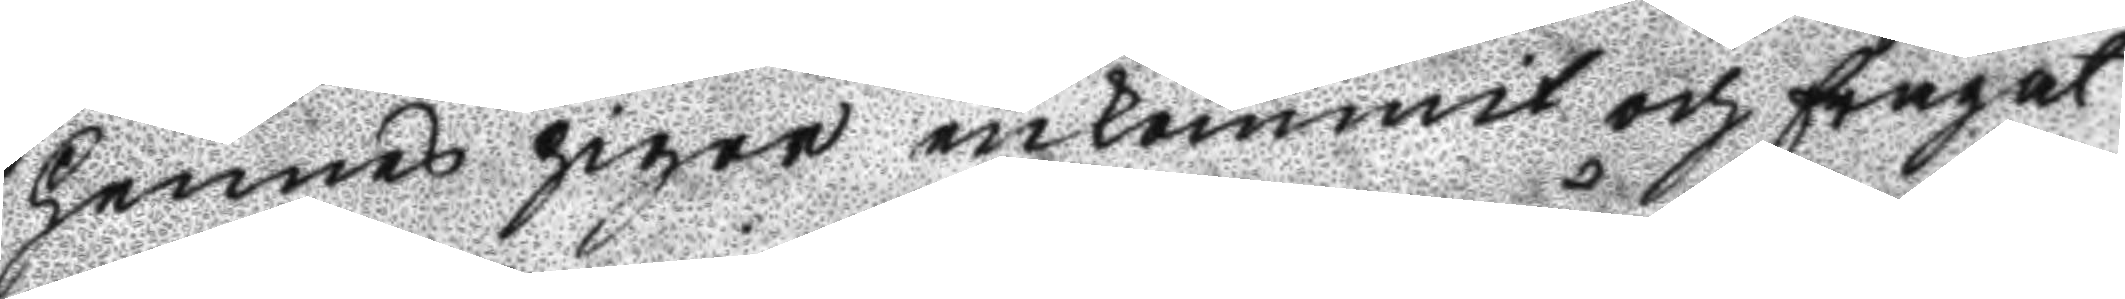hennes pigor inkommit och frågat
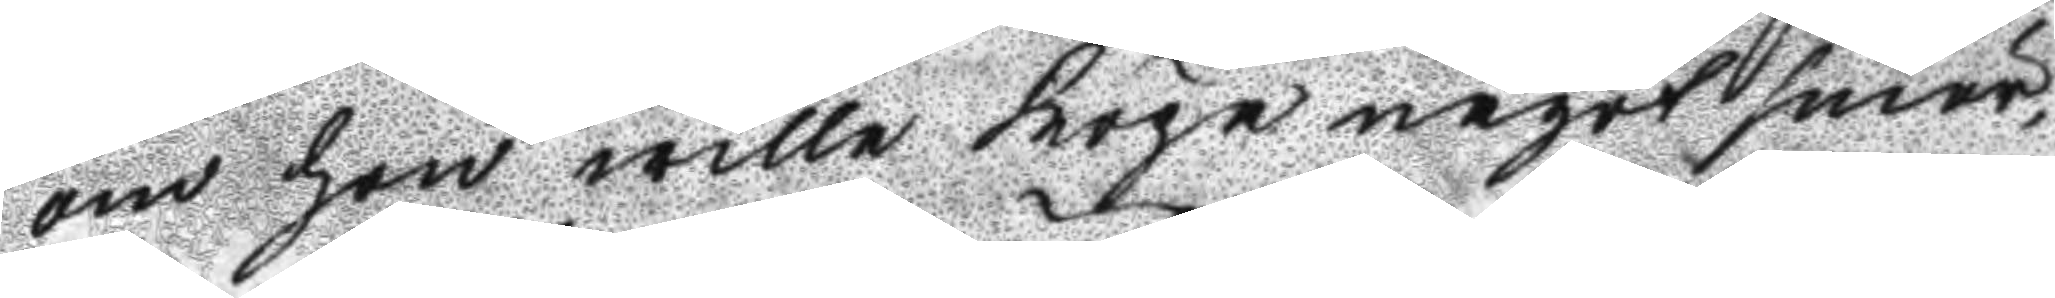om hon wille köpa något smör,
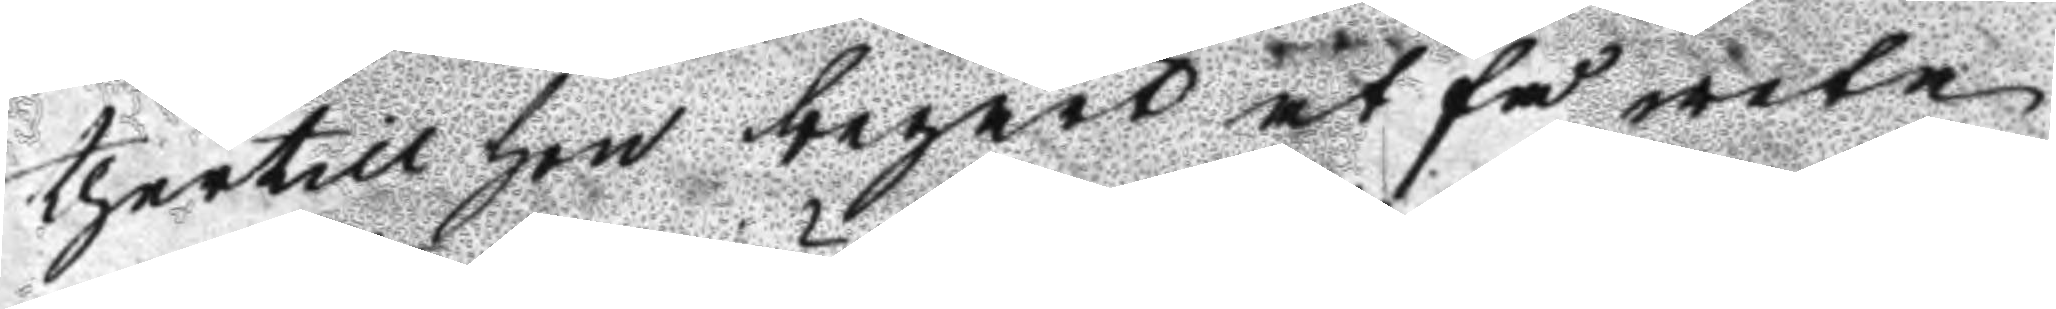thertill hon begärt at få weta
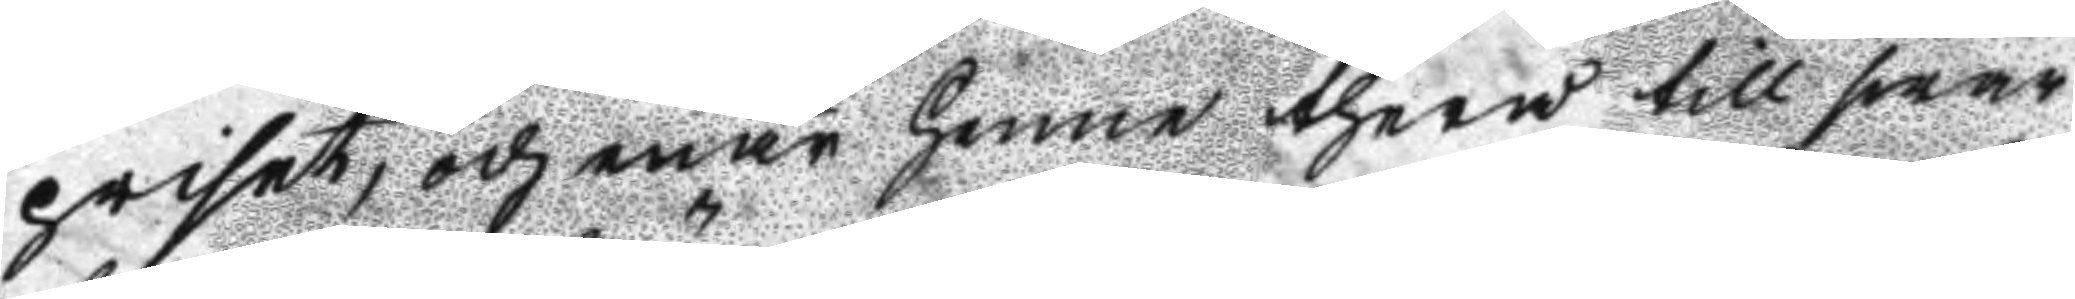priset, och enär henne therå till swar
